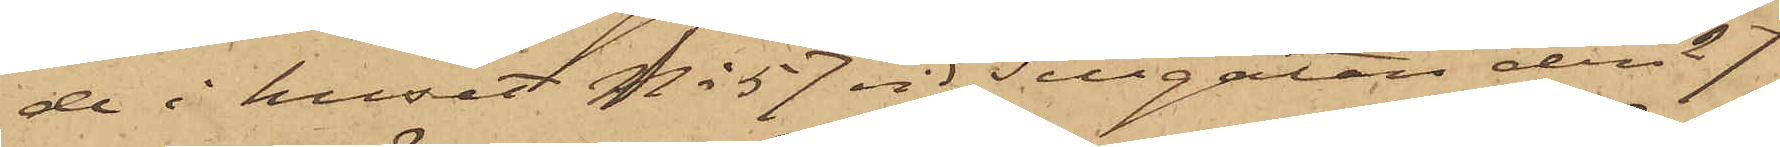de i huset No 57 vid Sillgatan den 27
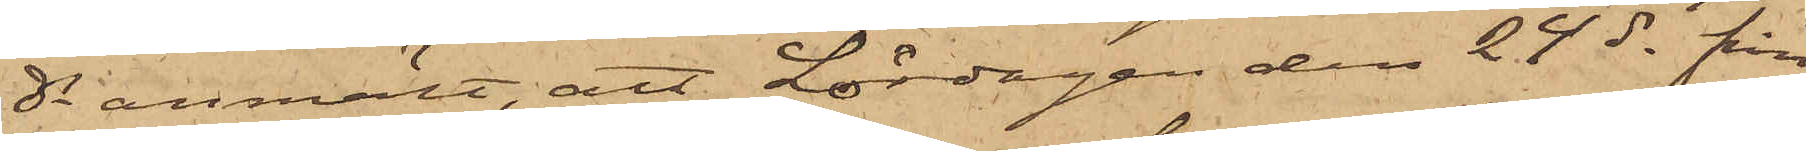ds anmält, att Lördagen den 24 ds från
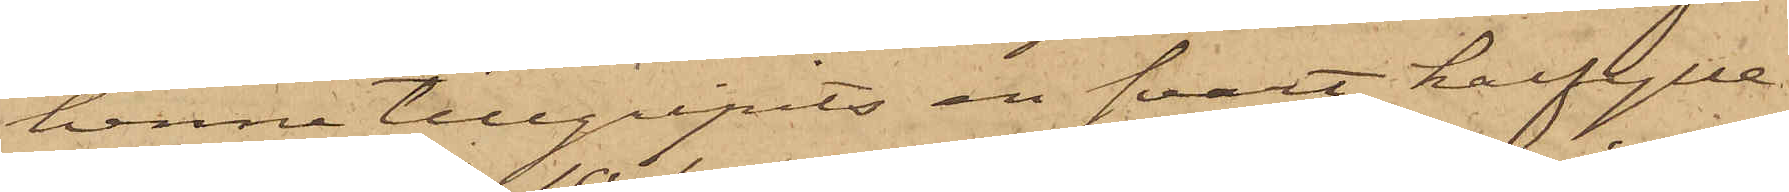henne tillgripits en svart halfylle¬
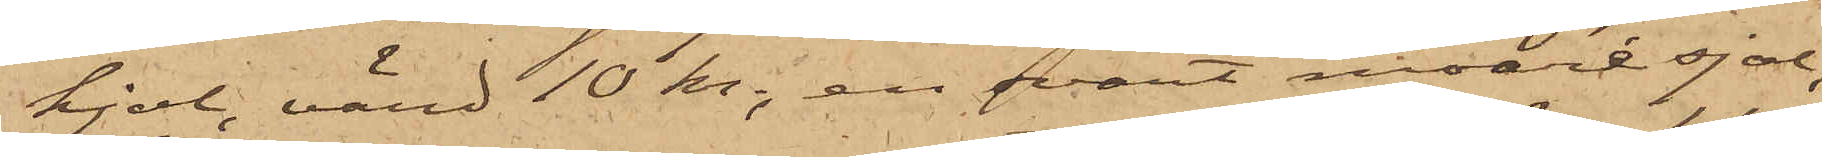kjol, värd 10 kr, en svart moaré sjal,
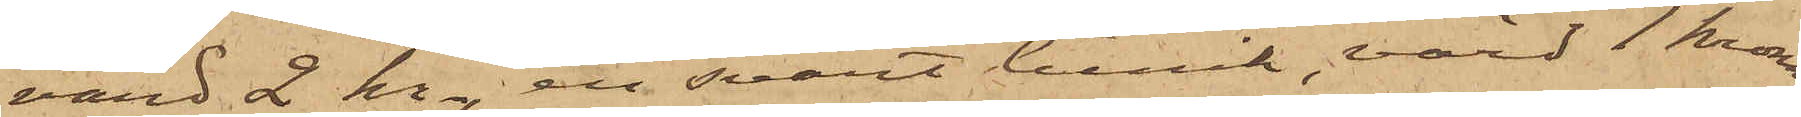värd 2 kr, en svart tunik, värd 1 krona
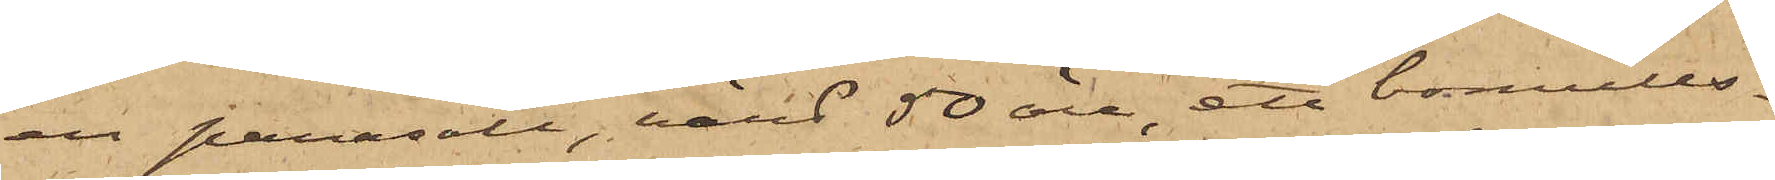en parasoll, värd 50 öre, ett bomulls¬
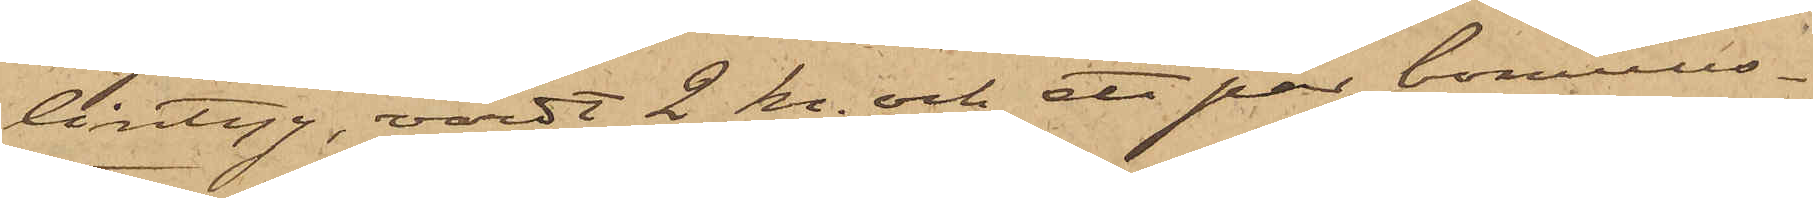lintyg, värdt 2 kr. och ett par bomulls¬
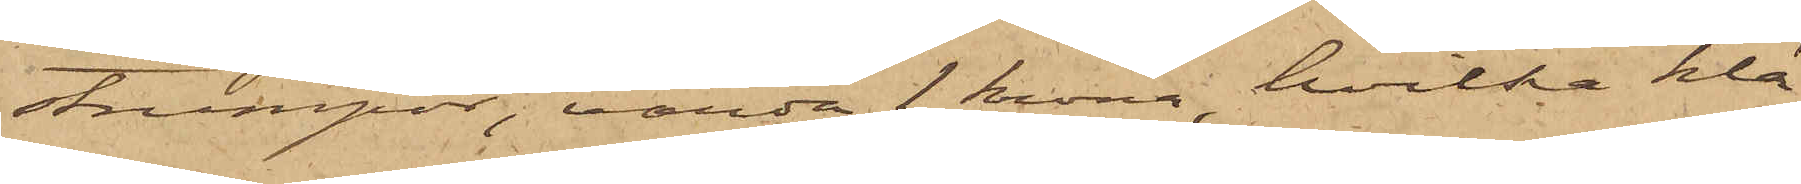strumpor, värda 1 krona, hvilka klä¬
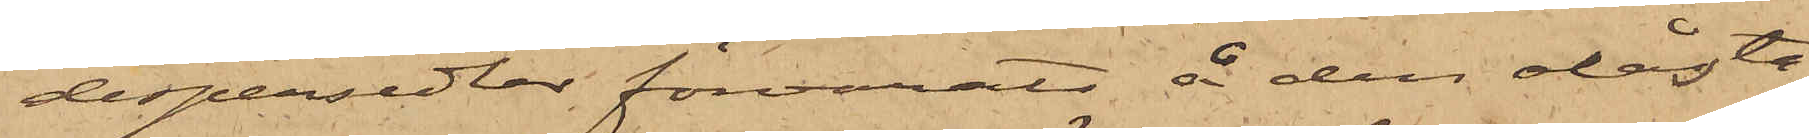despersedlar förvarats å den olåsta
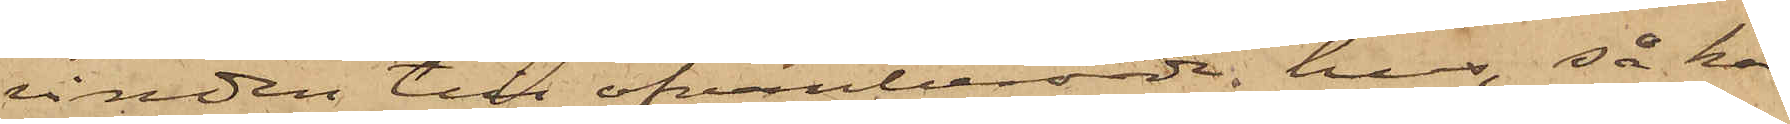vinden till ofvanberörde hus, så har
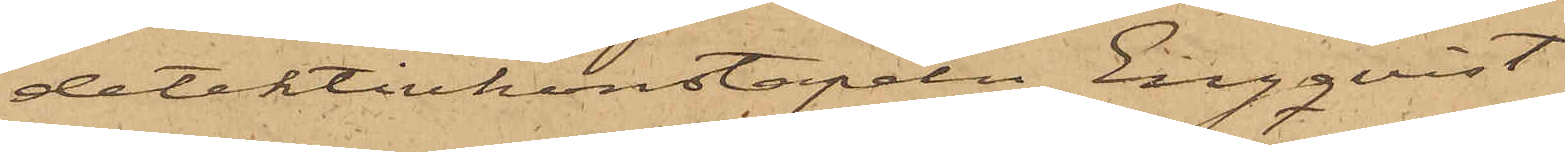detektivkonstapeln Engqvist
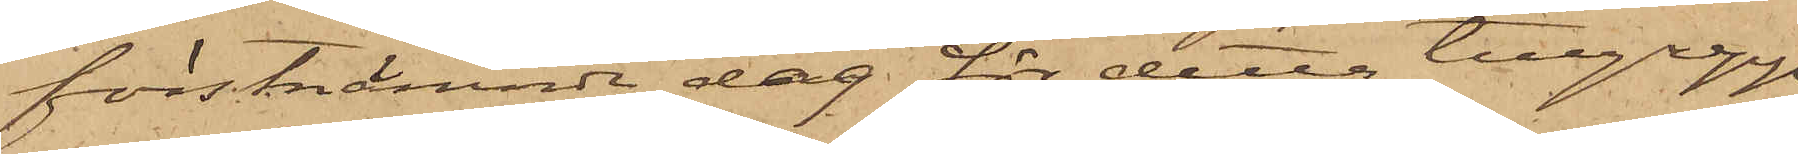förstnämnde dag för detta tillgrepp
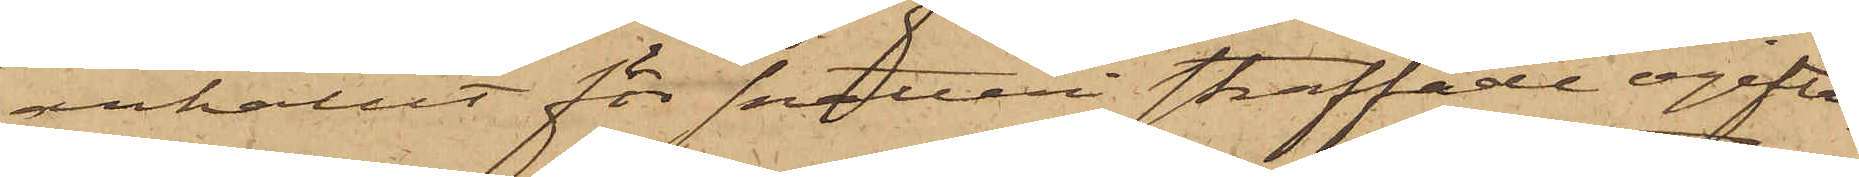anhållit för snatteri straffade ogifta
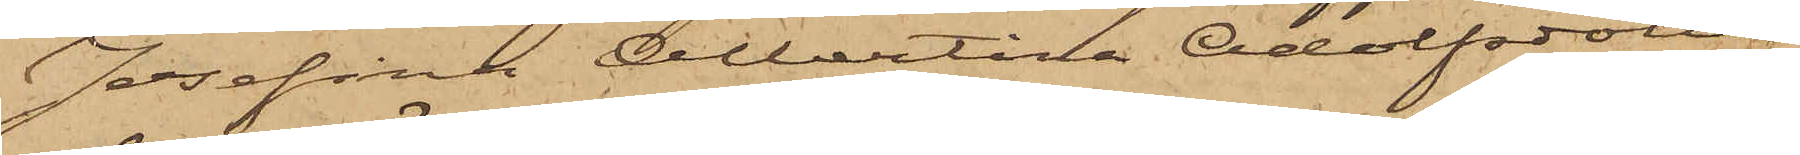Josefina Albertina Adolfsdotter
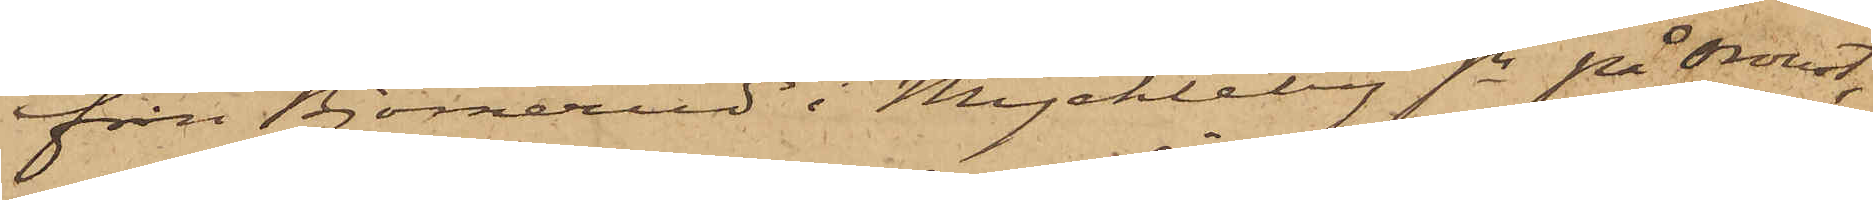från Björnerud i Myckleby sn på Oroust,
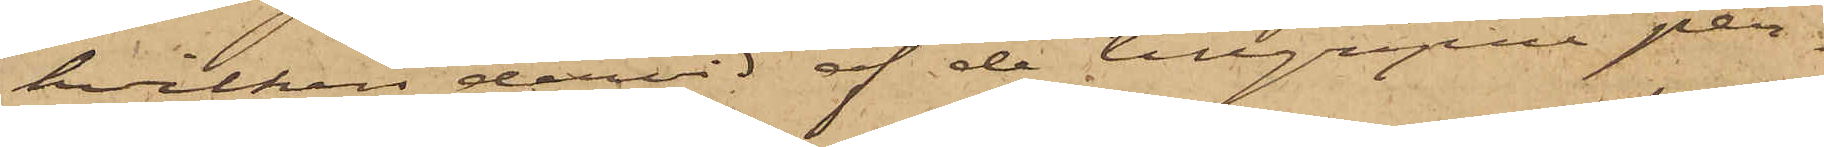hvilken dervid af de tillgripne per¬
